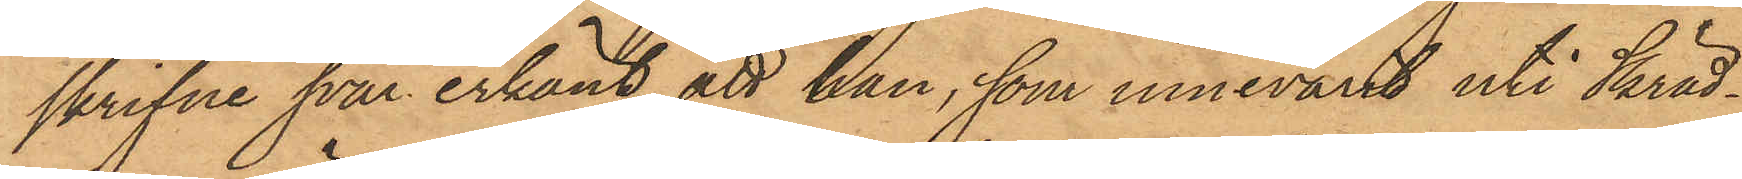skrifne svar erkänt, att han, som innevarit uti Skräd¬
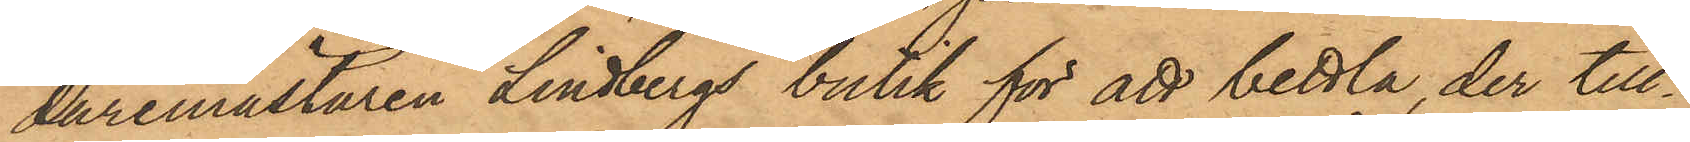daremästaren Lindbergs butik för att bettla, der till¬
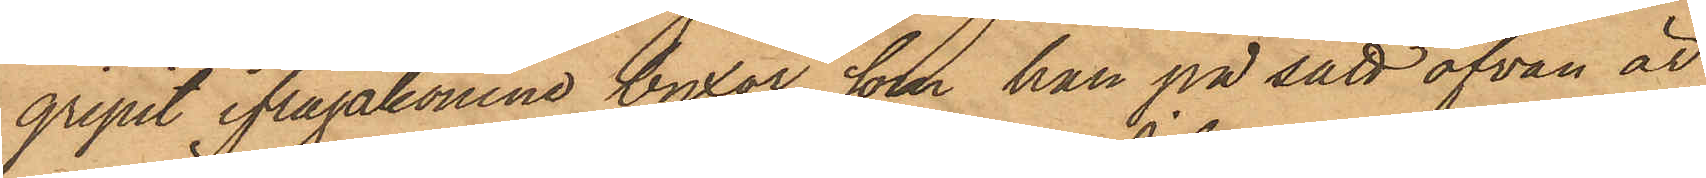gripit ifrågakomne byxor, som han på sätt ofvan är
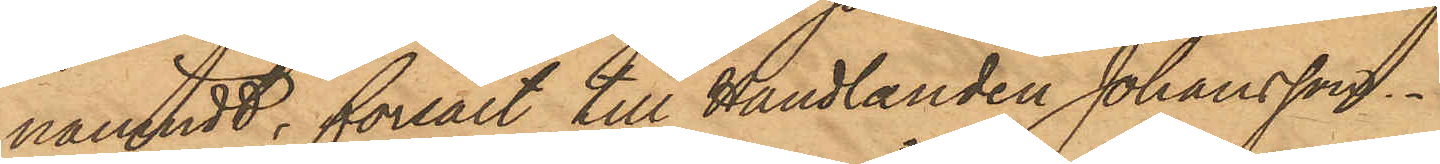nämndt, försålt till Handlanden Johansson.
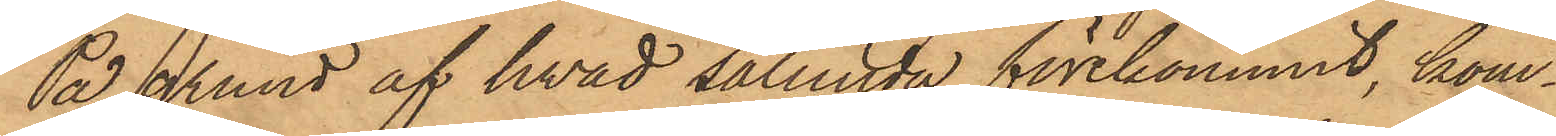På grund af hvad sålunda förekommit, kom¬
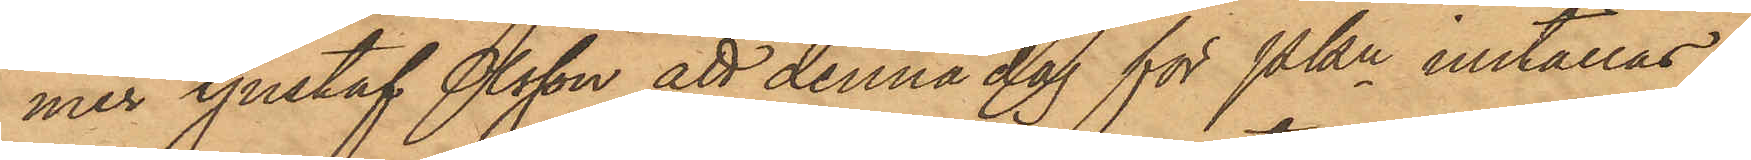mer Gustaf Olsson att denna dag för PKn inställas.
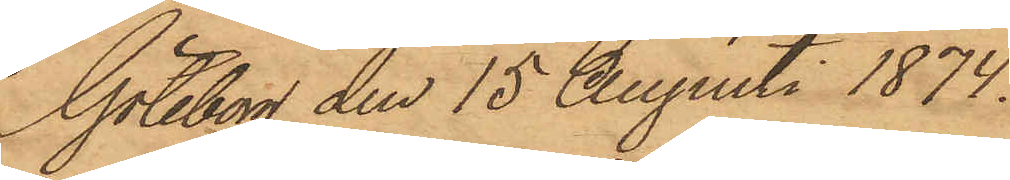Göteborg den 15 Augusti 1874.
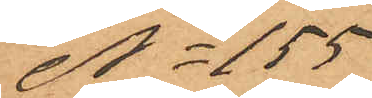No 155
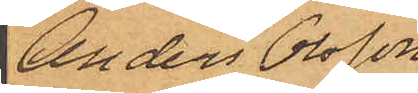Anders Olsson
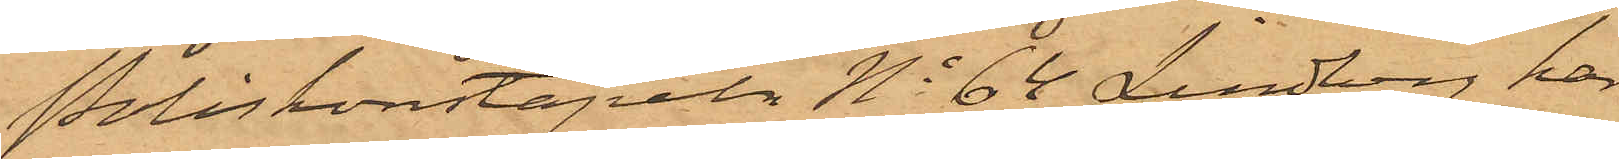Poliskonstapeln No 64 Lindberg har
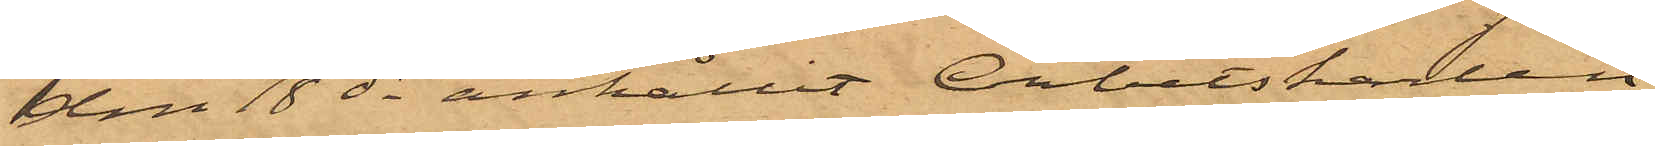den 18 ds anhållit Arbetskarlen
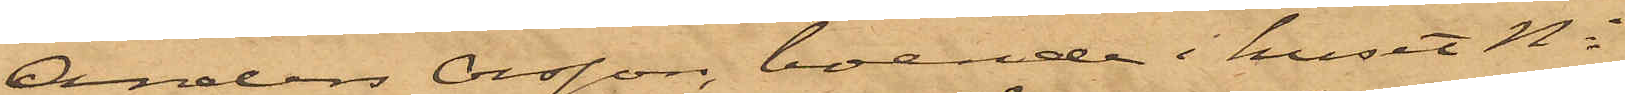Anders Olsson, boende i huset No
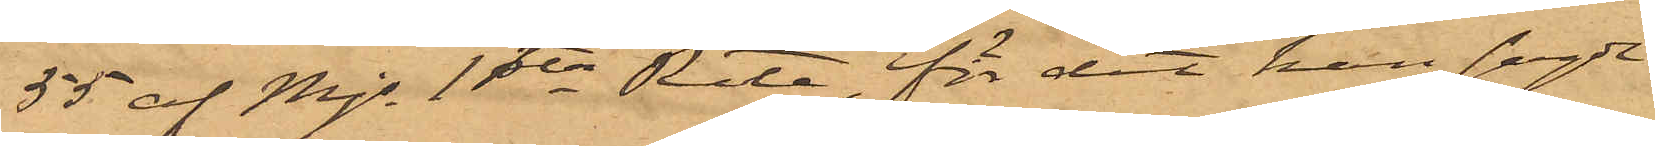55 af Mjs 1ste Rote, för det han sagde
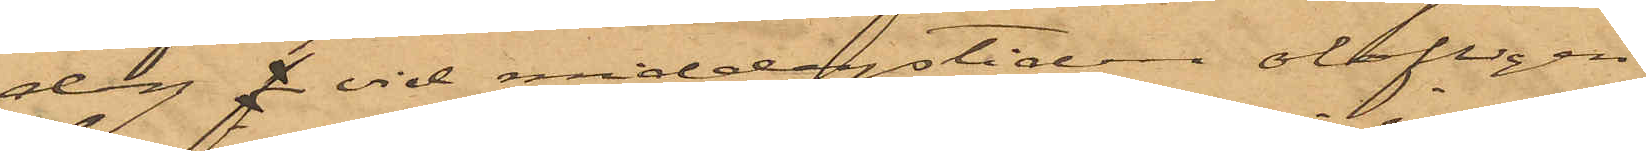dag vid middagstiden olofligen
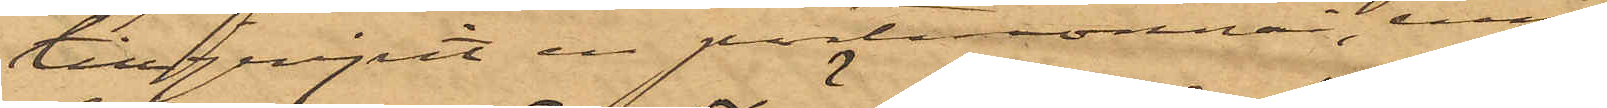tillgripit en portmonnai, inne¬
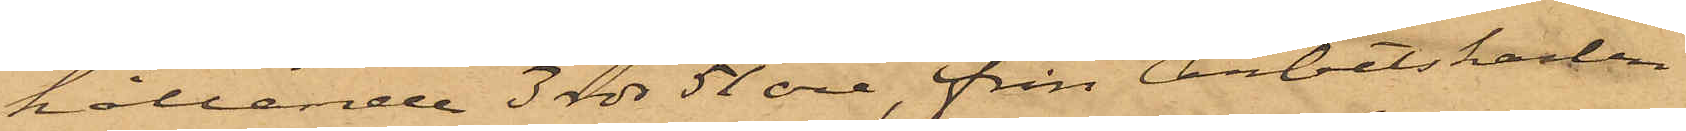hållande 3 rdr 51 öre, från Arbetskarlen
